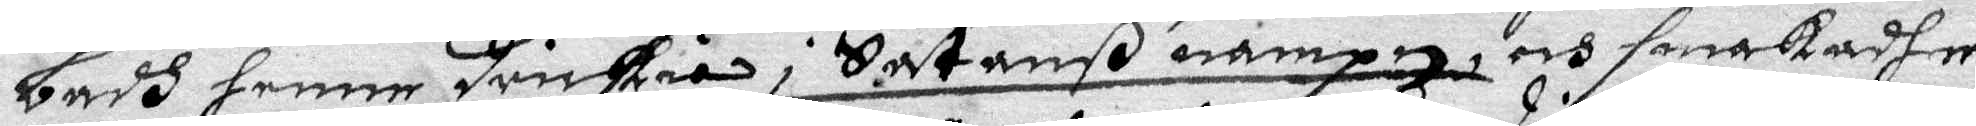badh henne drickia i Satanß nampn och smakadhe
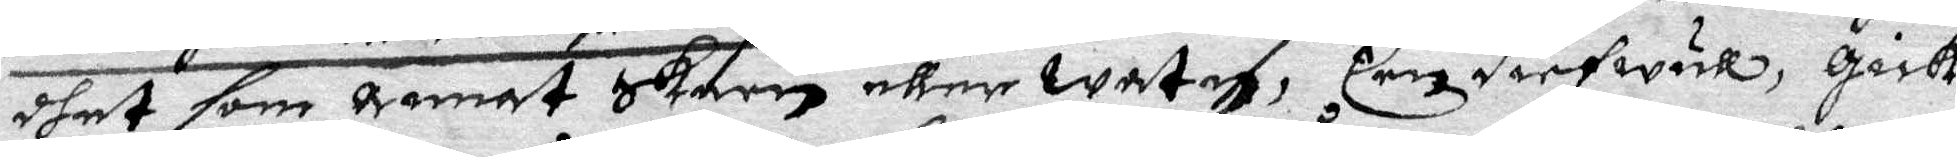dhet som annat skarn eller waten, Een diefwul, gick
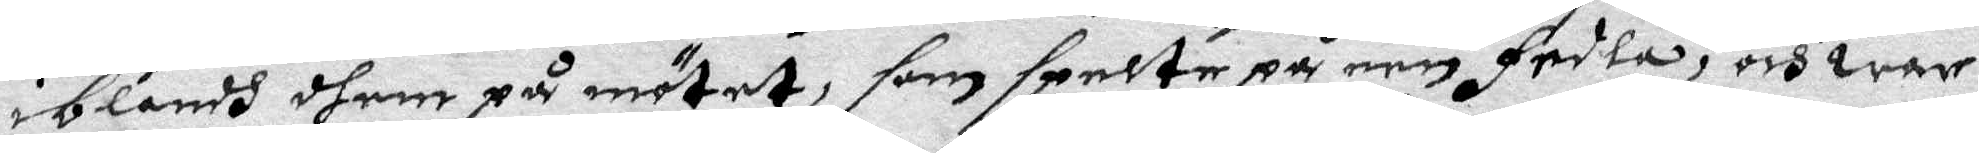iblandh dhem på mötet, som spelte på een fedla, och war
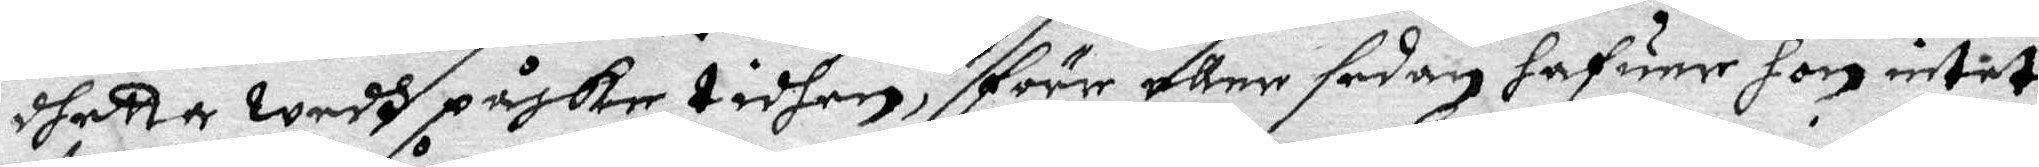dhetta wedh påske tidhen, förre eller sedan hafuer hon intet
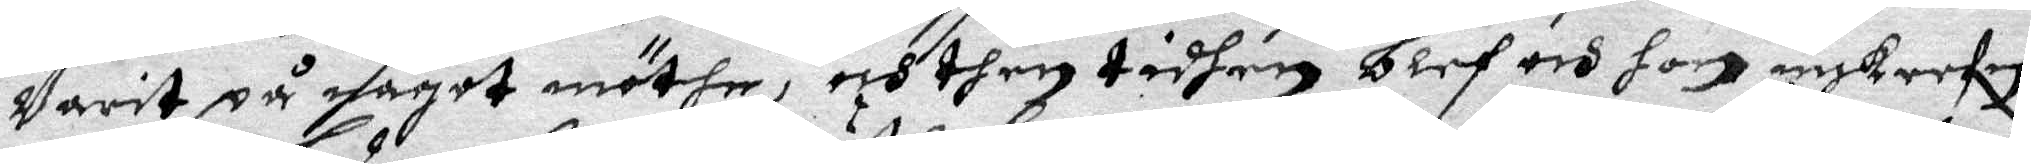warit på något möthe, och then tidhen blef och hon inskrefn
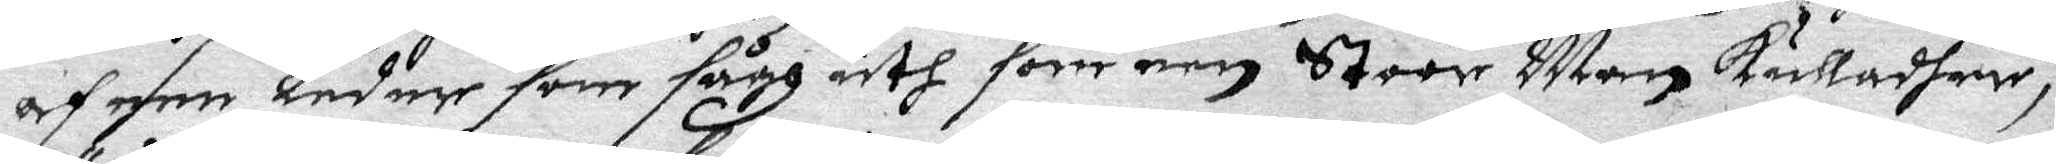af een ledare som sågh uth som een Stoor Man kulladher,
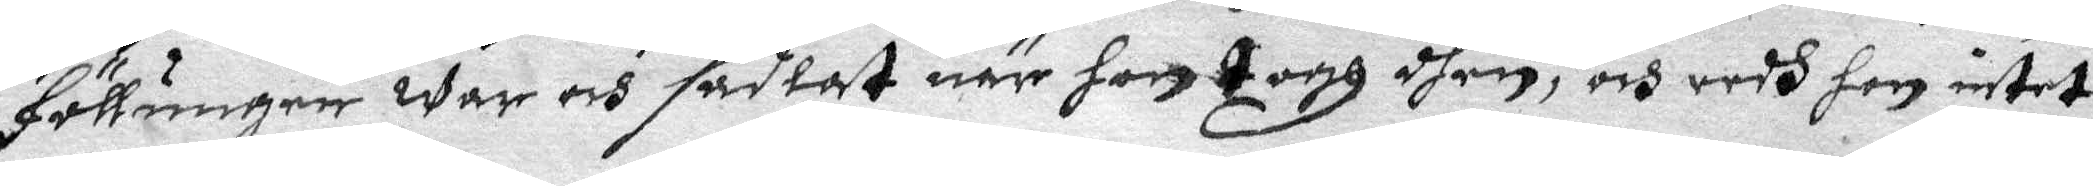Föllunger war och sadlat när hon togh dhen, och redh hon intet
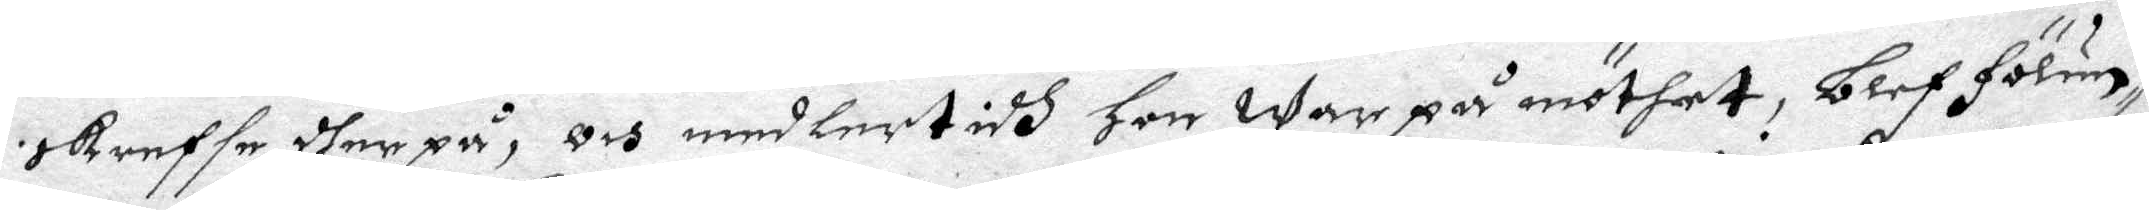skreffe dher på, och medlertidh hon war på möthet, blef fölun¬
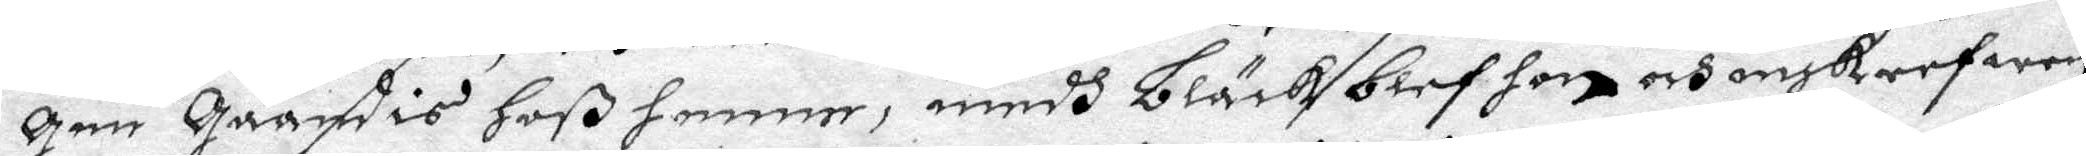gen qåandis hoß henne, medh Bläck blef hon och inskrefwen
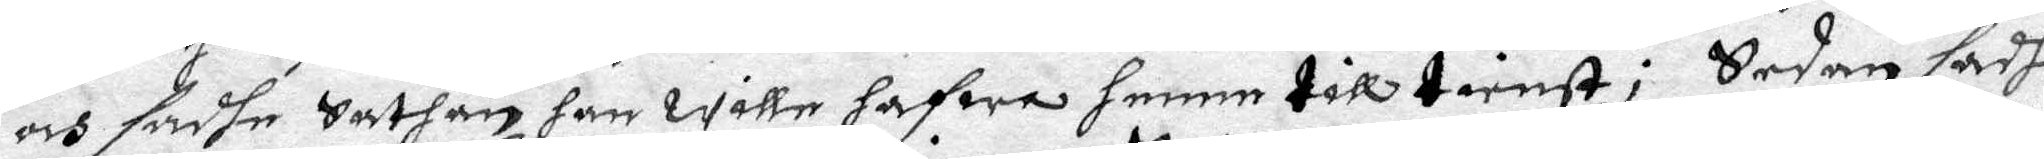och sadhe Sathan han wille hafwa henne till tienst; Sedan sadhe
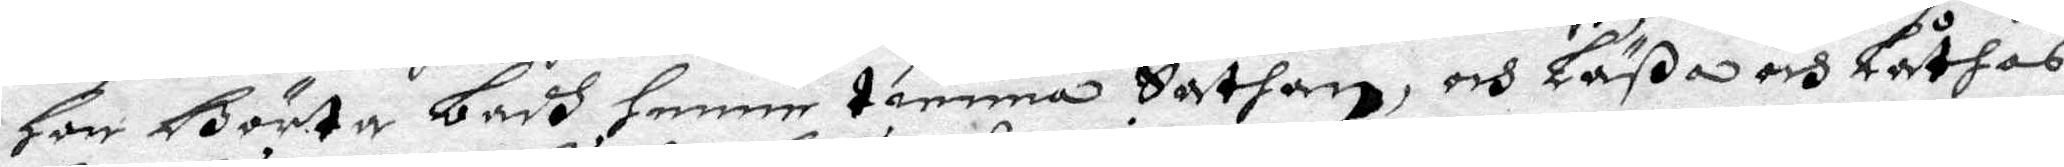Hon Börta badh henne tienna Sathan, och Läßa och Låthas
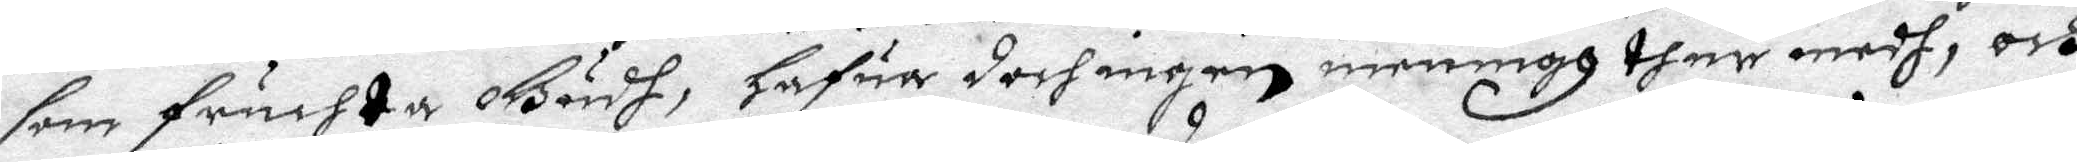som fruchta Gudh, hafua doch ingen meningh ther medh, och
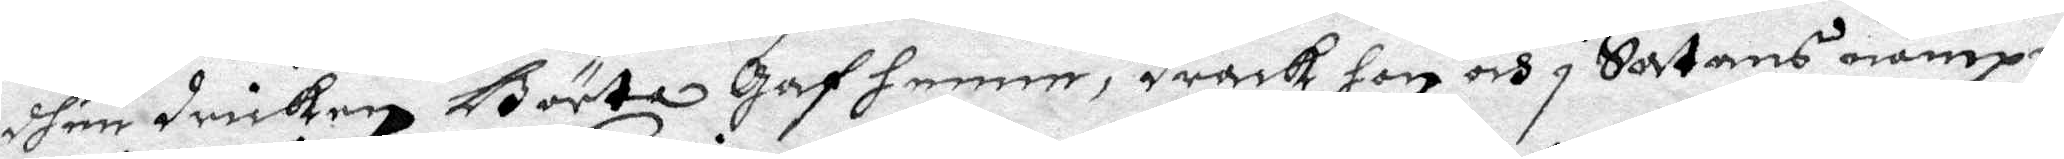dhen dricken Börta gaf henne, drack hon och i Satans nampn,
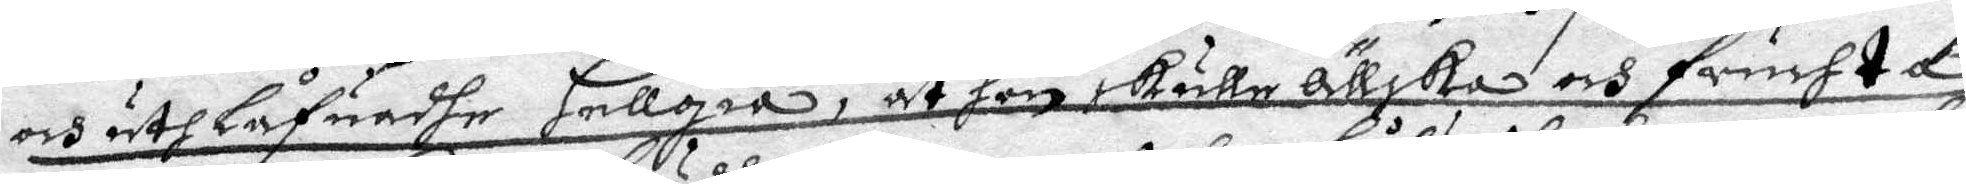och uthlåfuadhe Hellgia, at hon skule ällska och fruchta
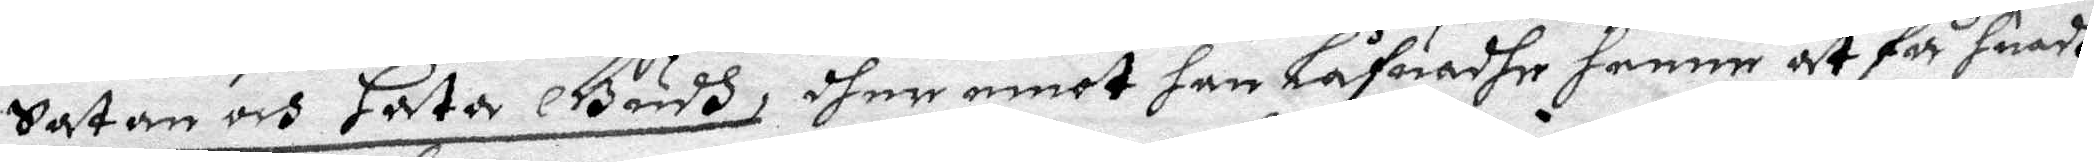Satan och hata Gudh, dher emot han låfwadhe henne at få huadh
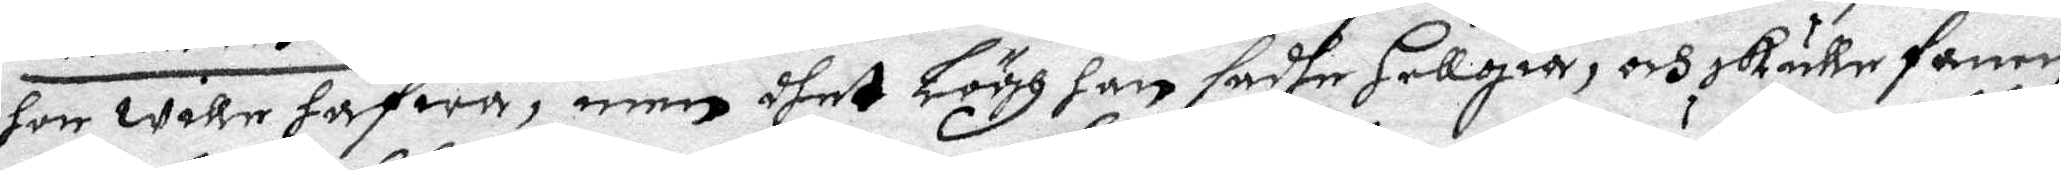hon wille hafwa, men dhet lögh han sadhe Hellgia, och skulle fanen
